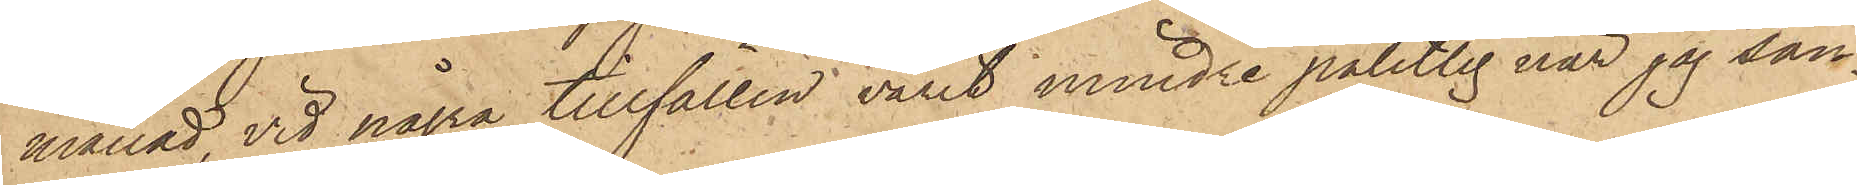månad, vid några tillfällen varit mindre pålitlig när jag sän¬
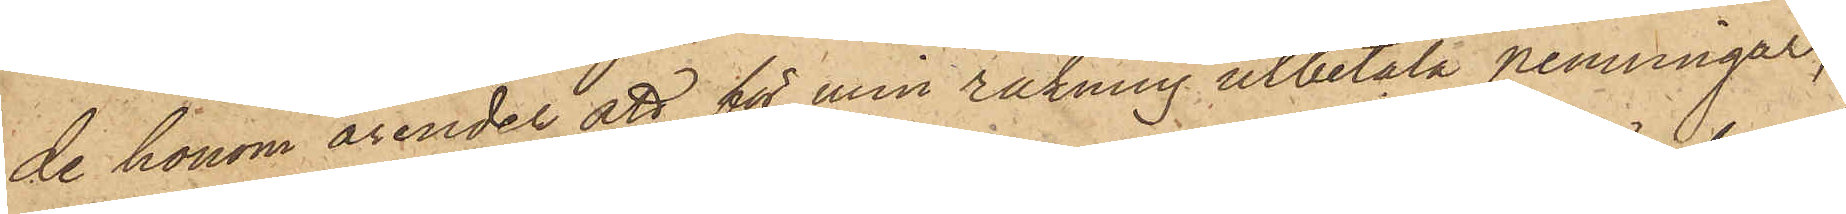de honom ärender att för min räkning utbetala penningar,
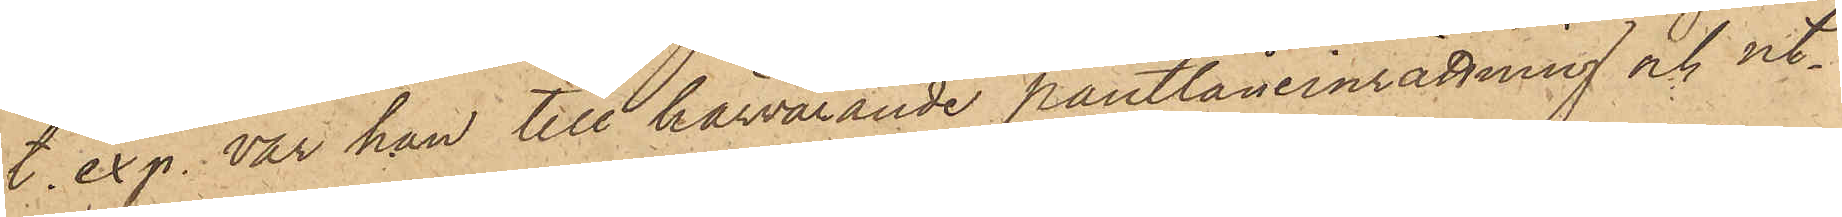t. exp. var han till härvarande pantlåneinrättning och ut¬
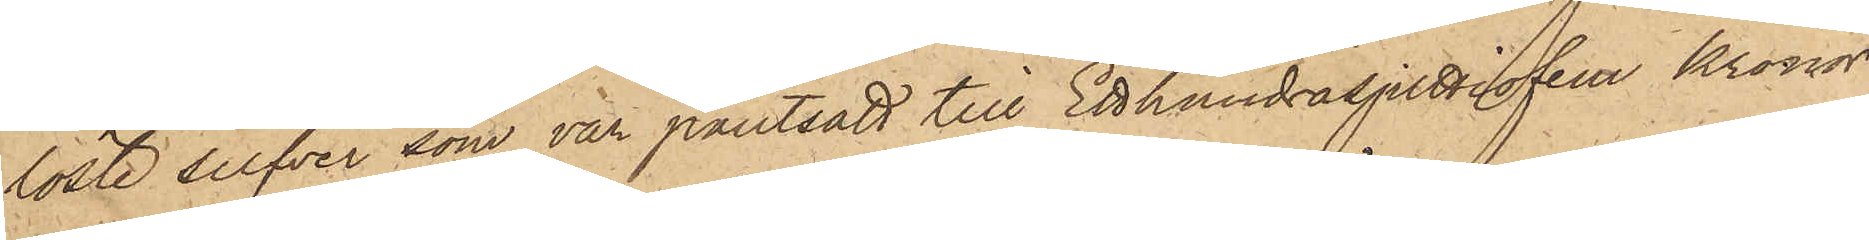löste silfver som var pantsatt till Etthundratjuttiofem Kronor
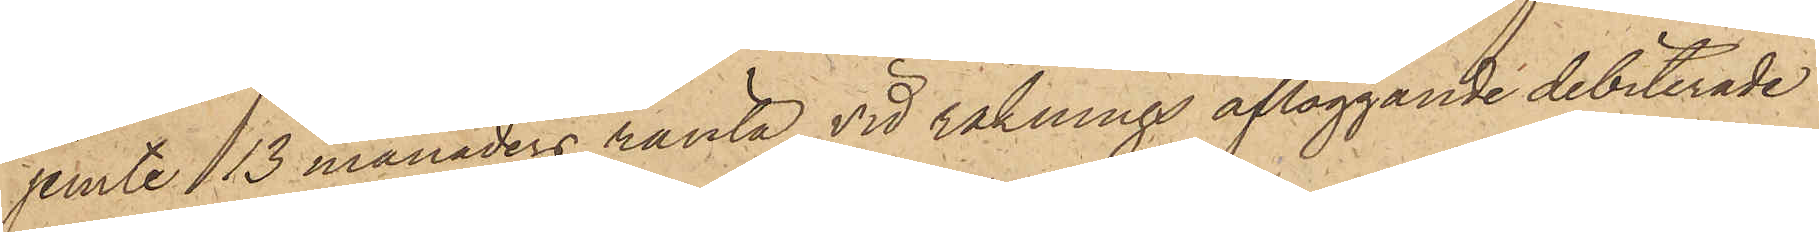jemte 13 månaders ränta, vid räknings afläggande debiterade
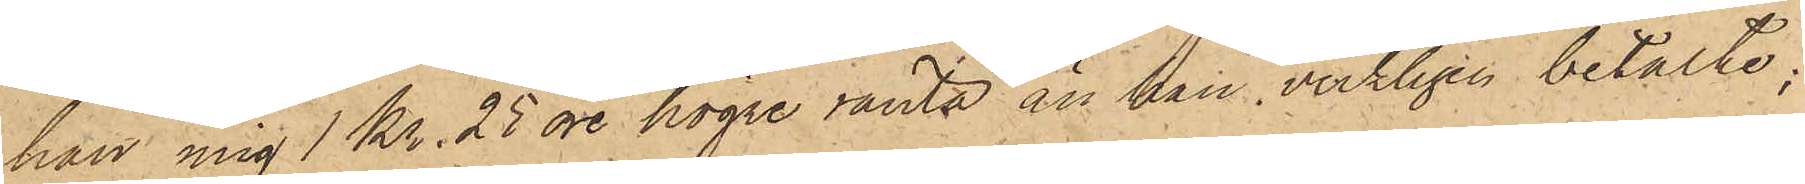han mig 1 Kr. 25 öre högre ränta än han verkligen betalte;
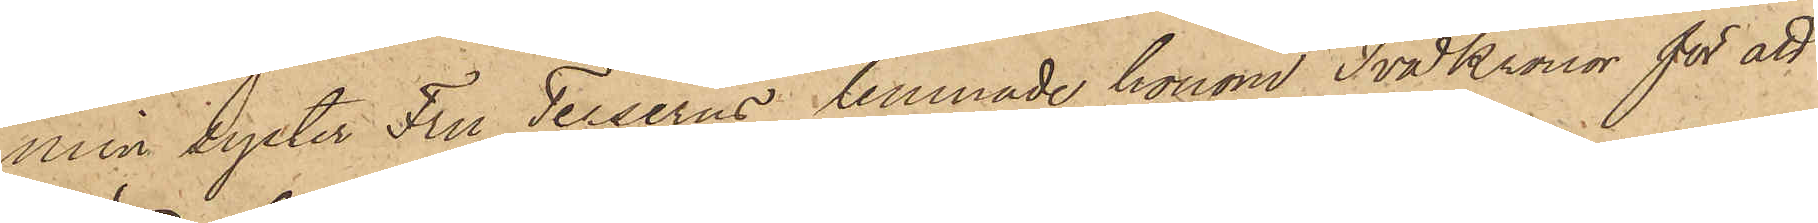min syster Fru Terserus lemnade honom Två Kronor för att
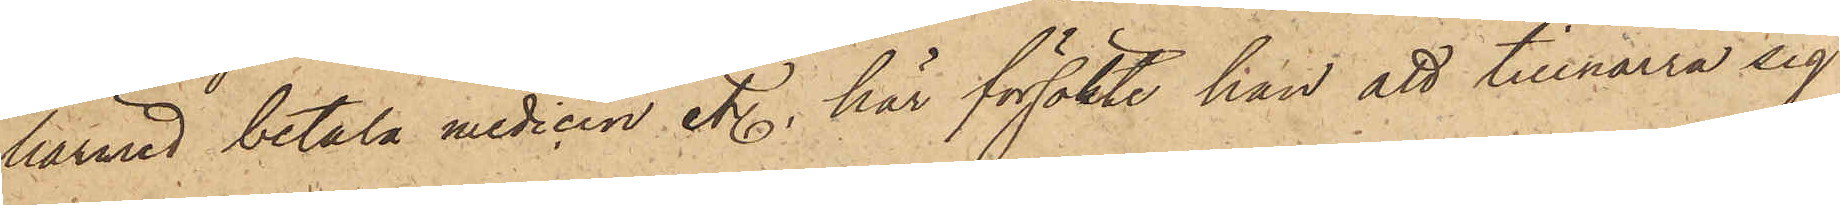härmed betala medicin etc., här försökte han att tillnarra sig
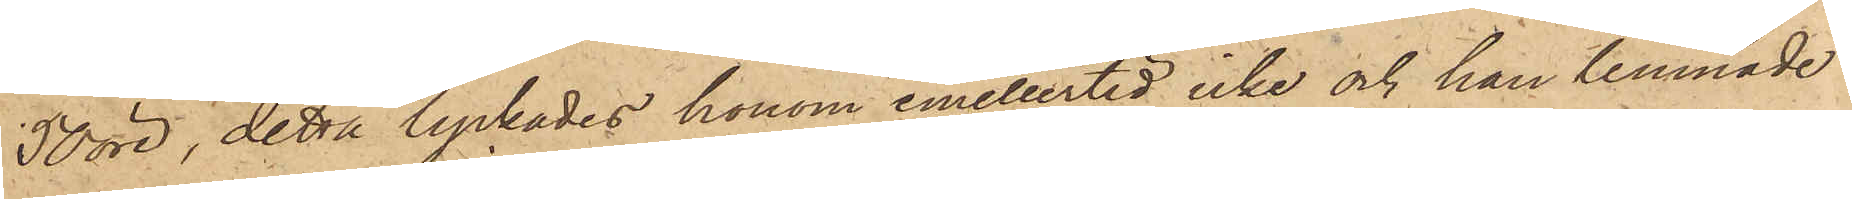50 öre, detta lyckades honom emellertid icke och han lemnade
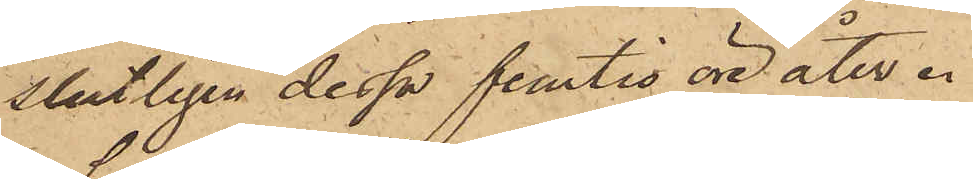slutligen dessa femtio öre åter.
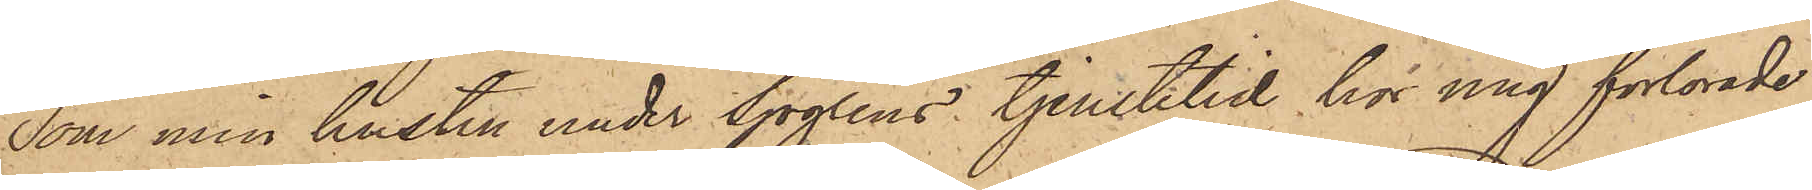Som min hustru under Sjögrens tjenstetid hos mig förlorade
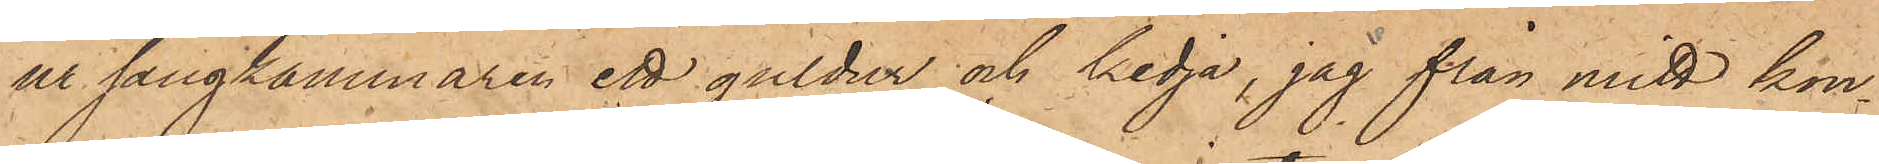ur sängkammaren ett guldur och kedja, jag från mitt kon¬
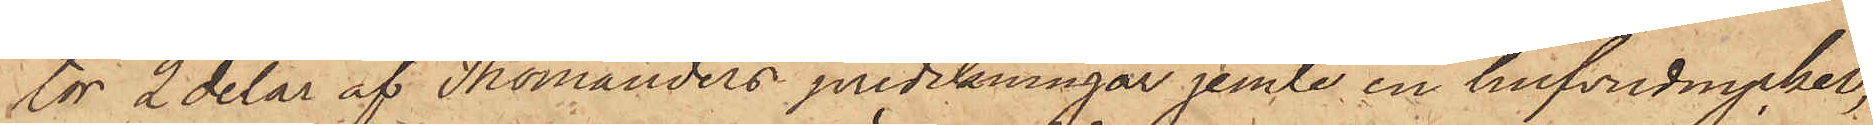tor 2 delar af Thomanders predikningar jemte en hufvudnyckel,
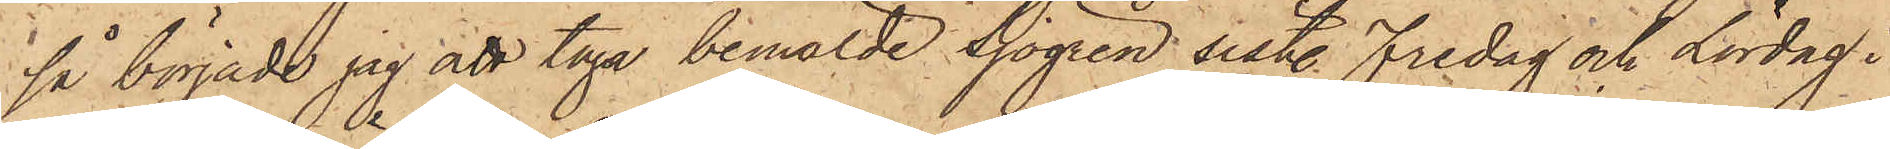så började jag att taga bemälde Sjögren sist. Fredag och Lördag i
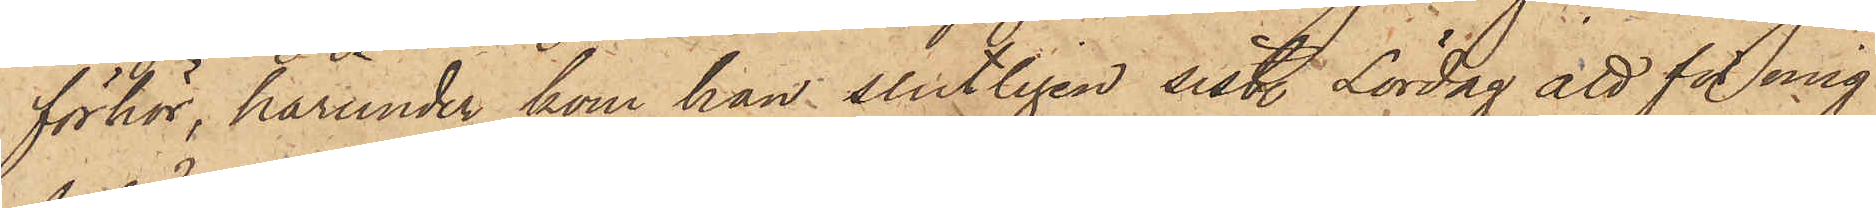förhör, härunder kom han slutligen sist. Lördag att för mig
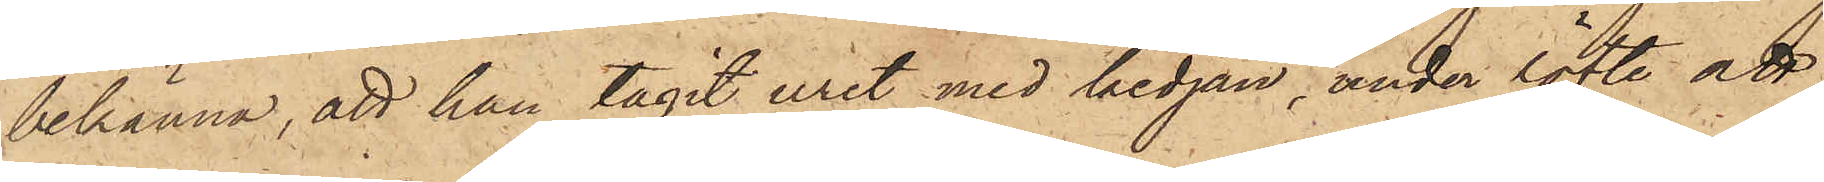bekänna, att han tagit uret med kedjan, under löfte att
